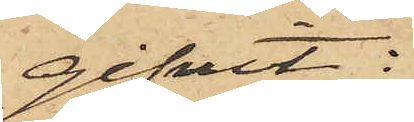gifvit:
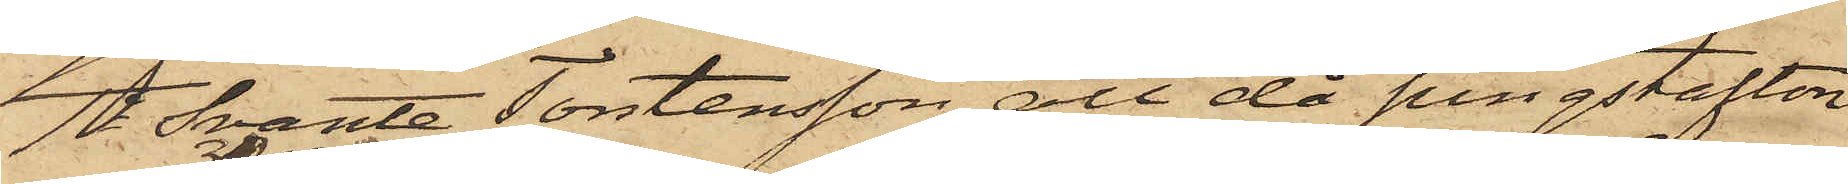1o Svante Torstensson, att då pingstafton
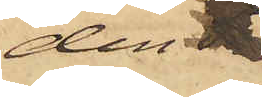den 
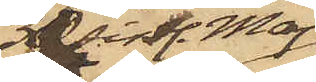30 sistl. Maj
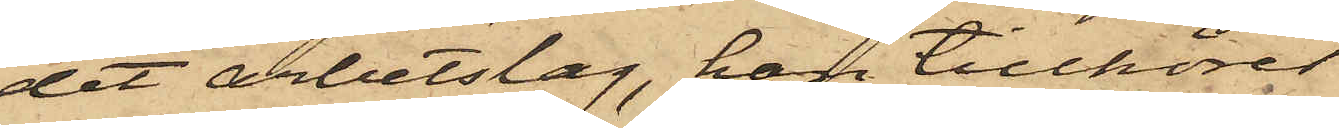det arbetslag, han tillhörer
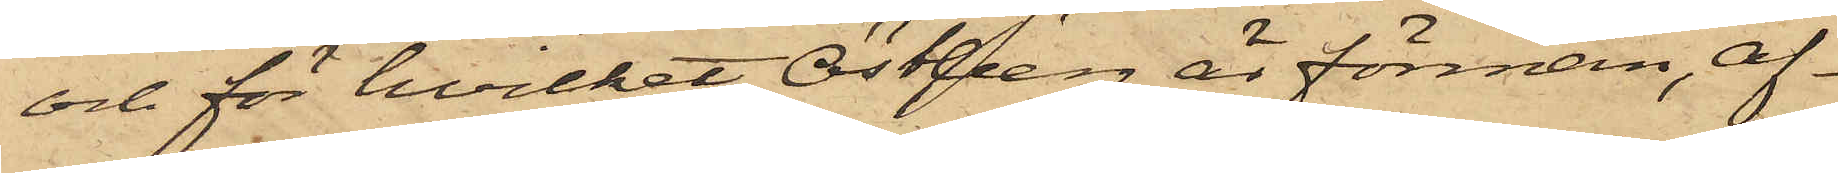och för hvilket Östberg är förman, af¬
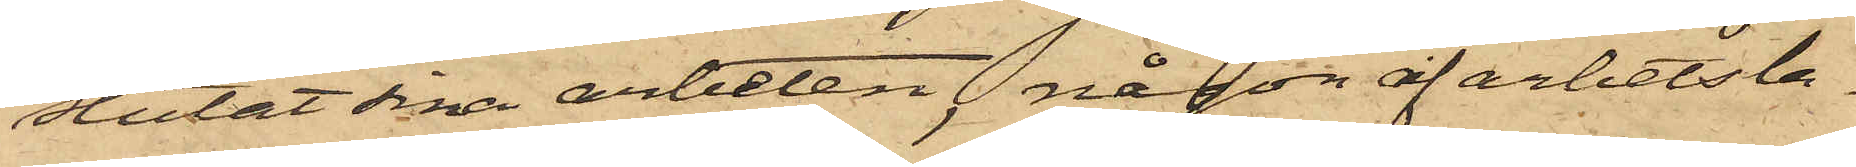slutat sina arbeten, någon af arbetsla¬
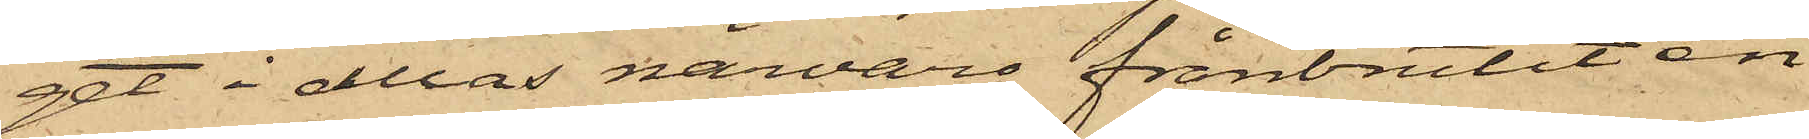get i allas närvaro frånbrutit en
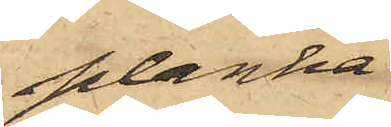planka
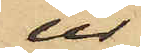ur
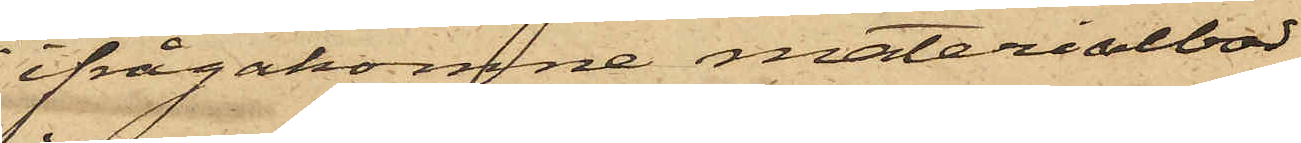ifrågakomne materialbod
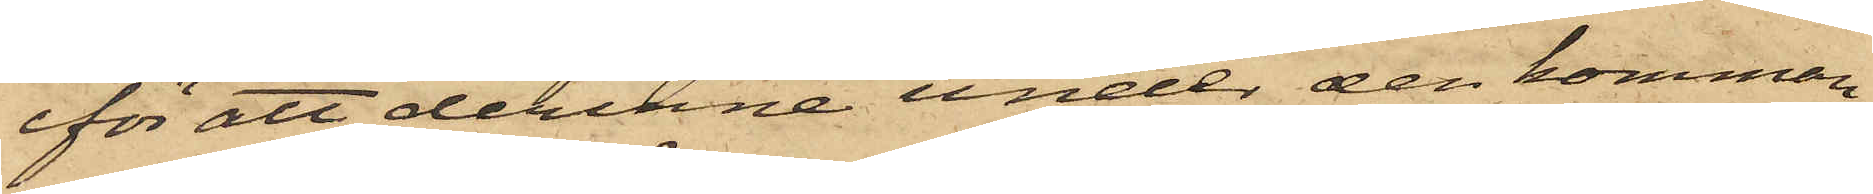för att derinne under den komman¬
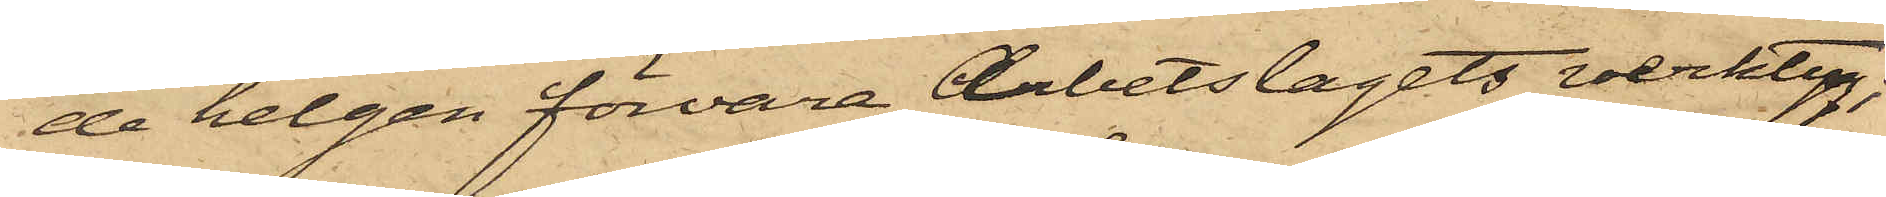de helgen förvara Arbetslagets verktyg,
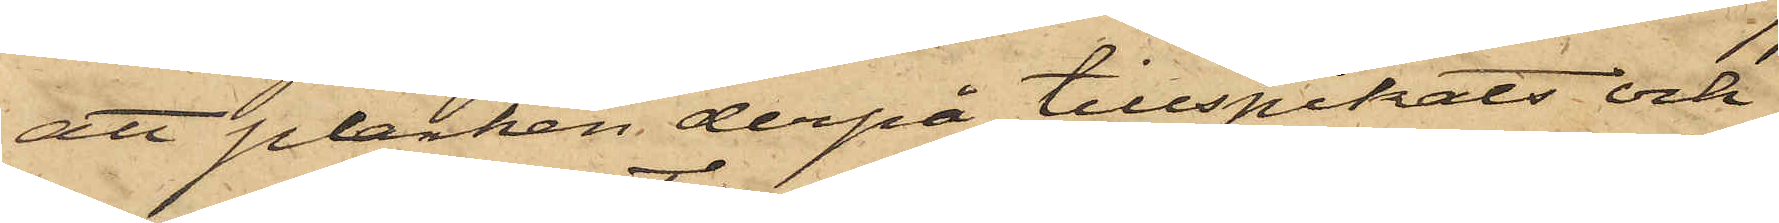att plankan derpå tillspikats och
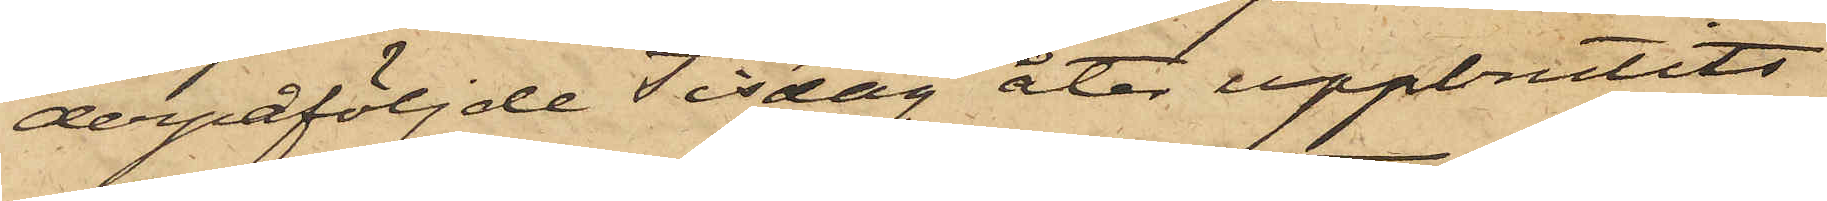derpåföljde Tisdag åter uppbrutits
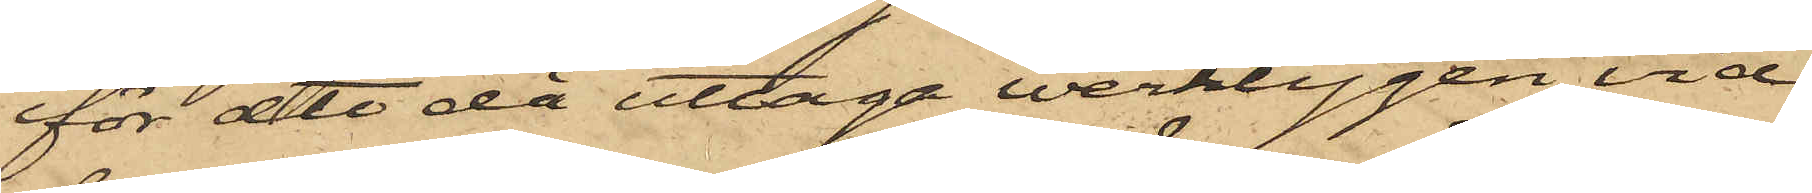för att då uttaga werktygen, vid
